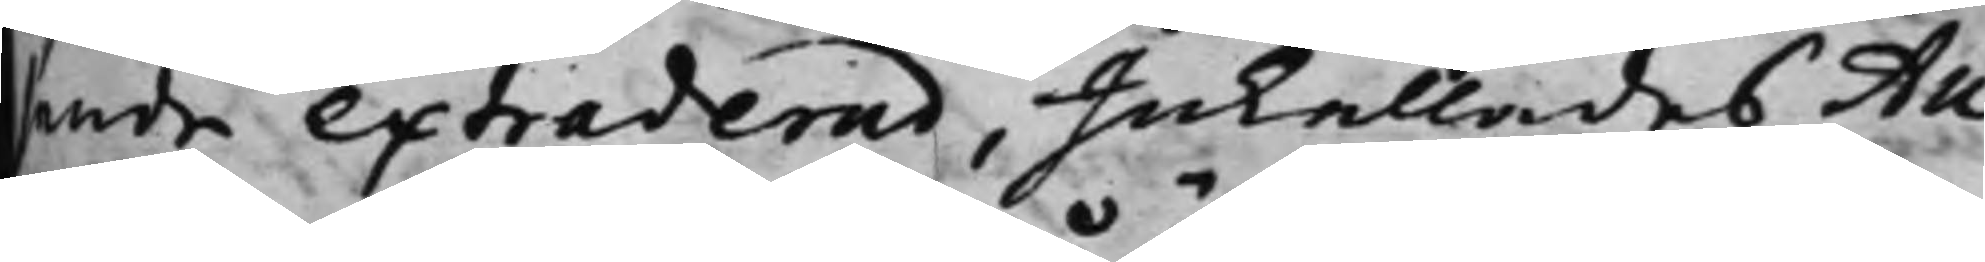sande extraderad, Inkallades Au¬
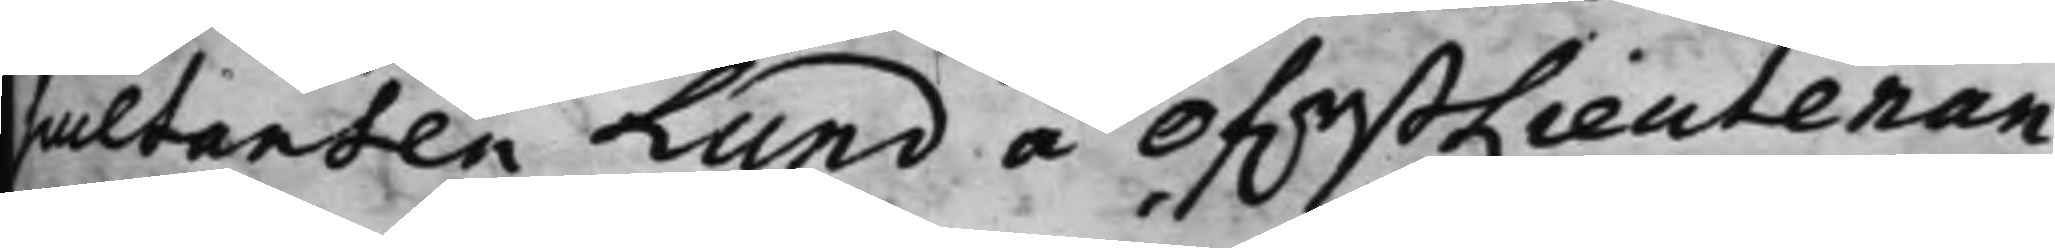scultanden Lund å ÖfwerstLieutenan¬
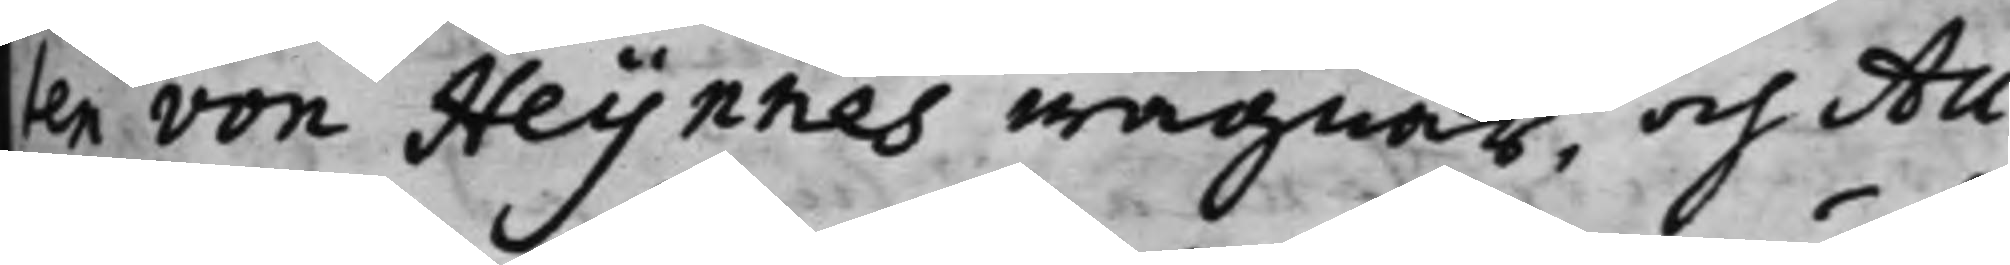ten von Heijnnes wägnar, och Au¬
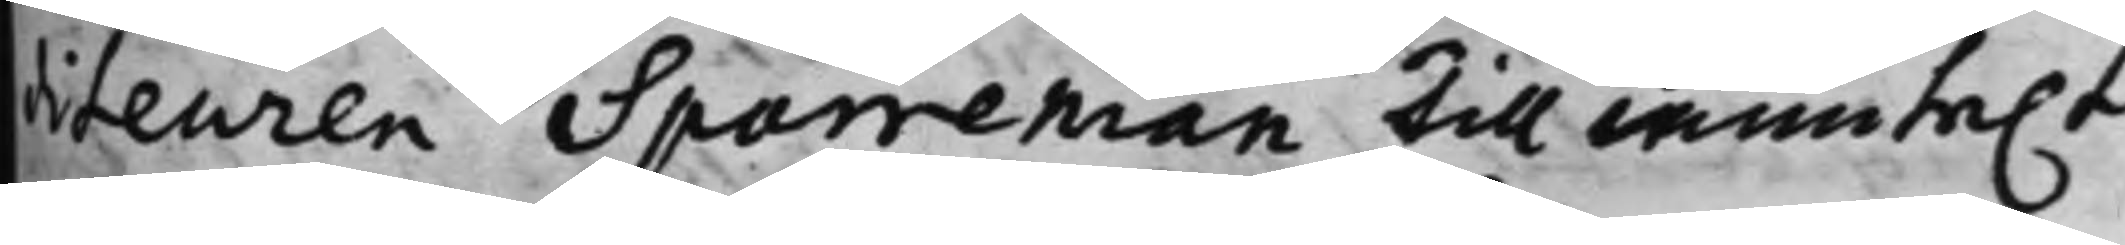diteuren Sparreman till munte.t
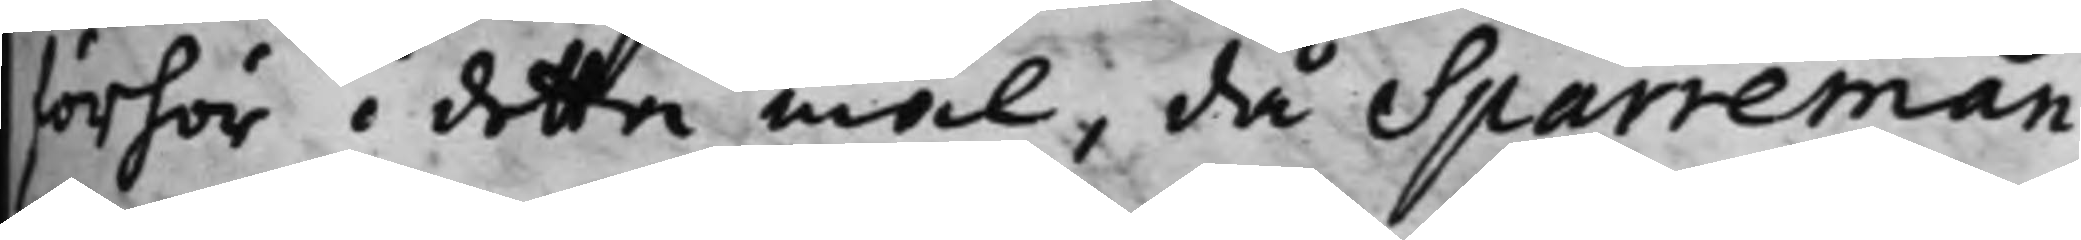förhör i detta mål, då Sparreman,
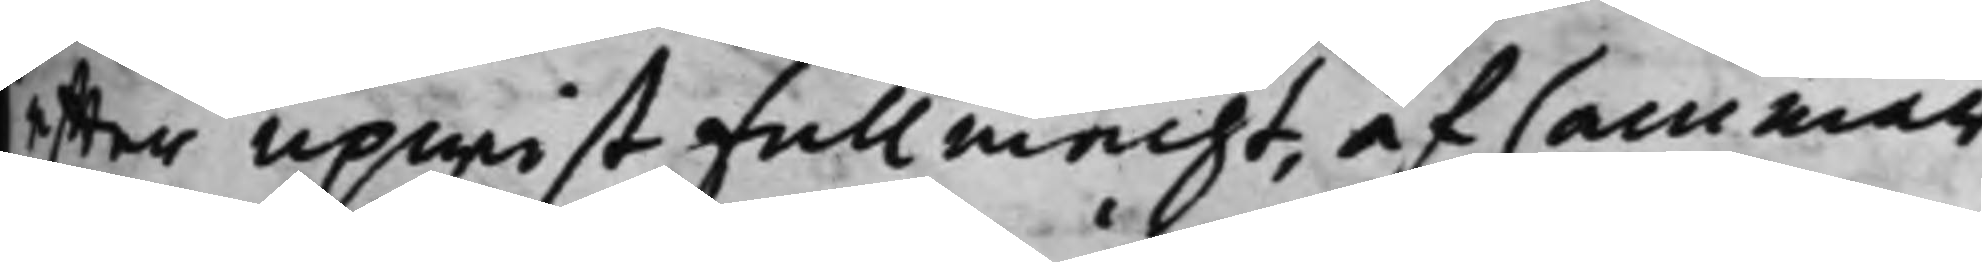effter upwist fullmacht, af Cammar¬
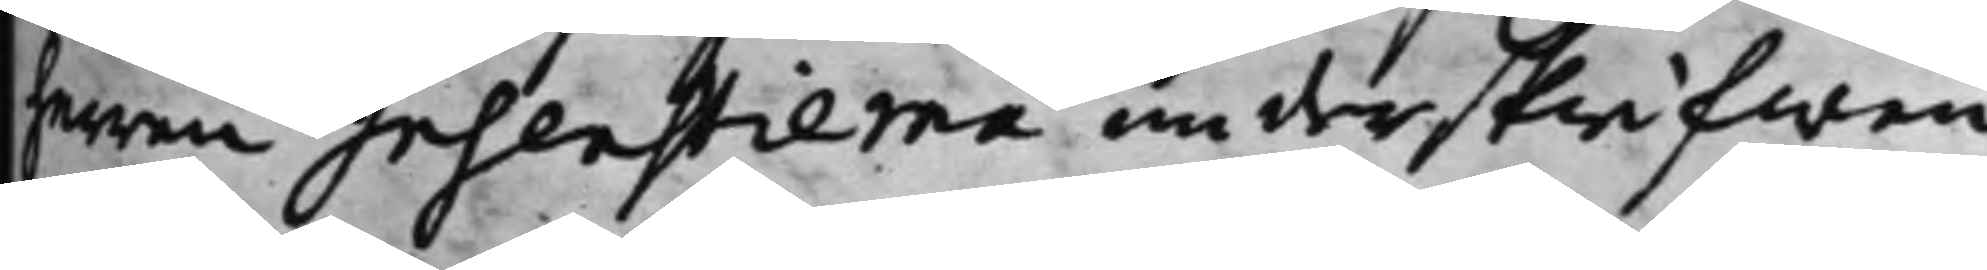Herren Insenstierna underskrifwen,
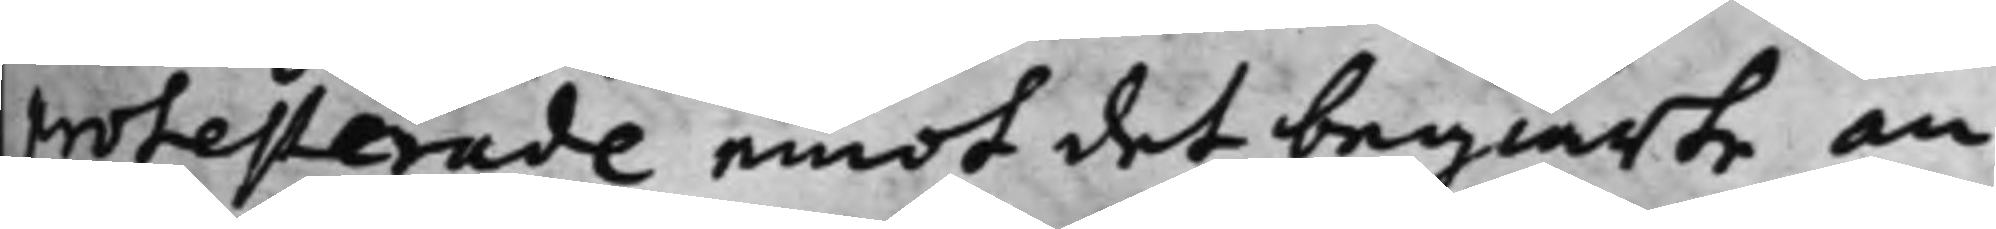protesterade emot det begiärte an¬
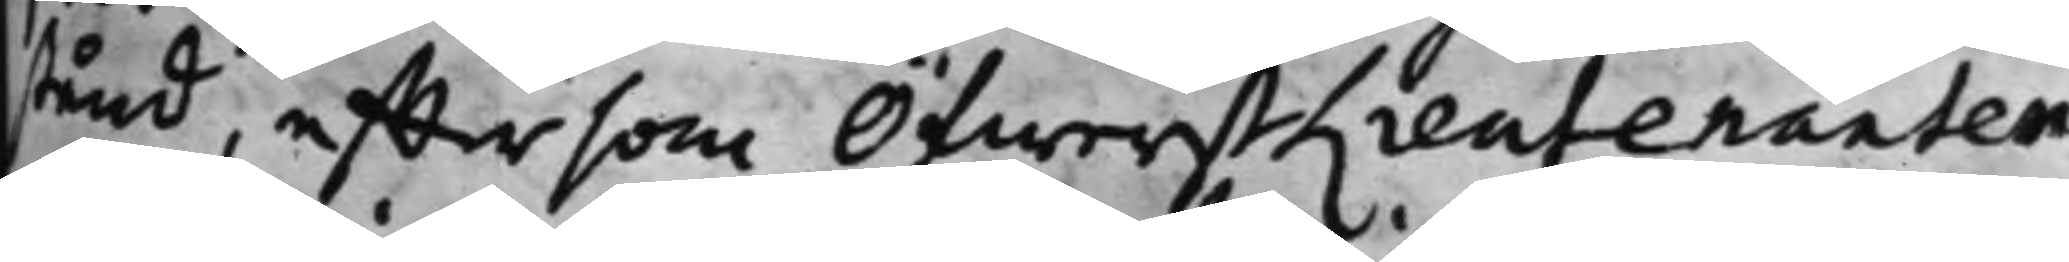stånd, efftersom ÖfwerstLieutenanten
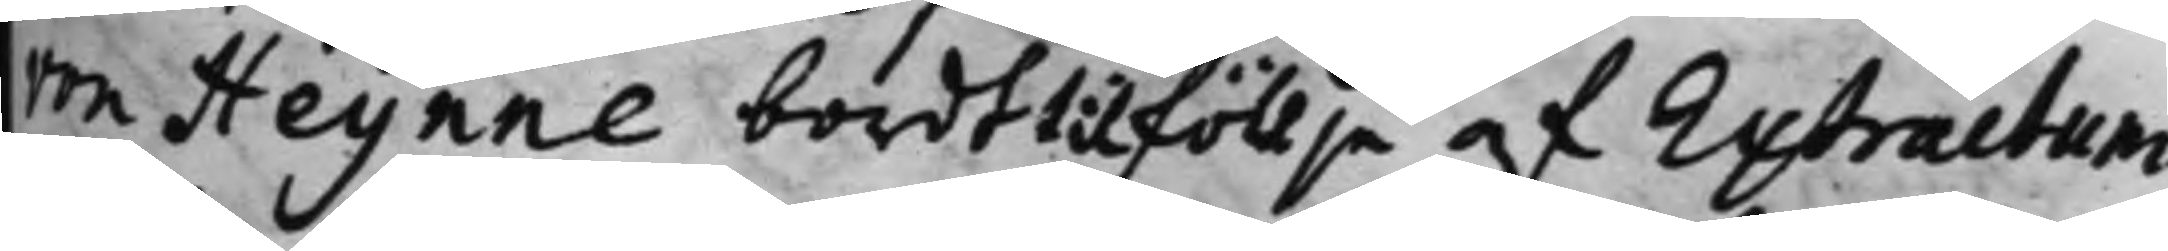von Heijnne bordt tilföllje af Extractum
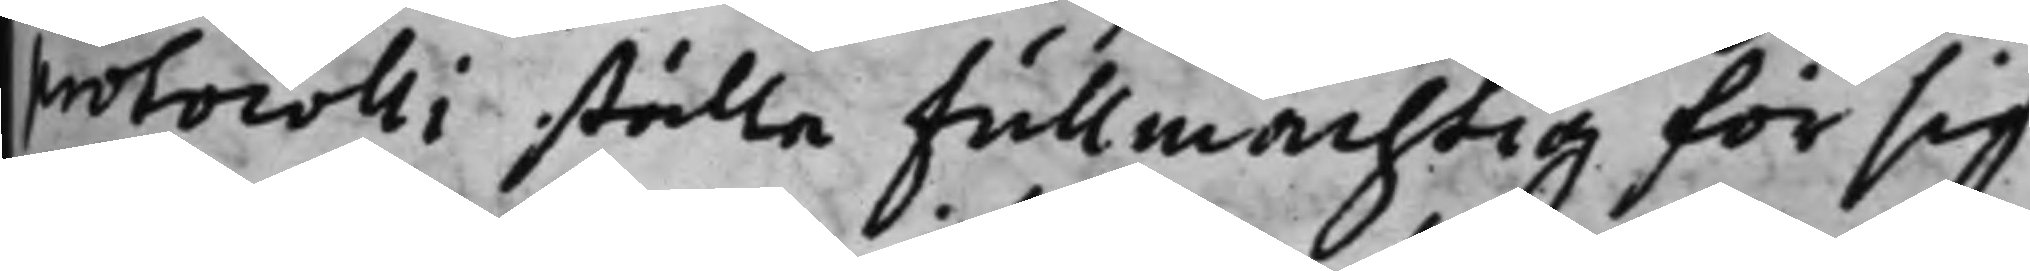protocolli ställa Fullmächtig för sig
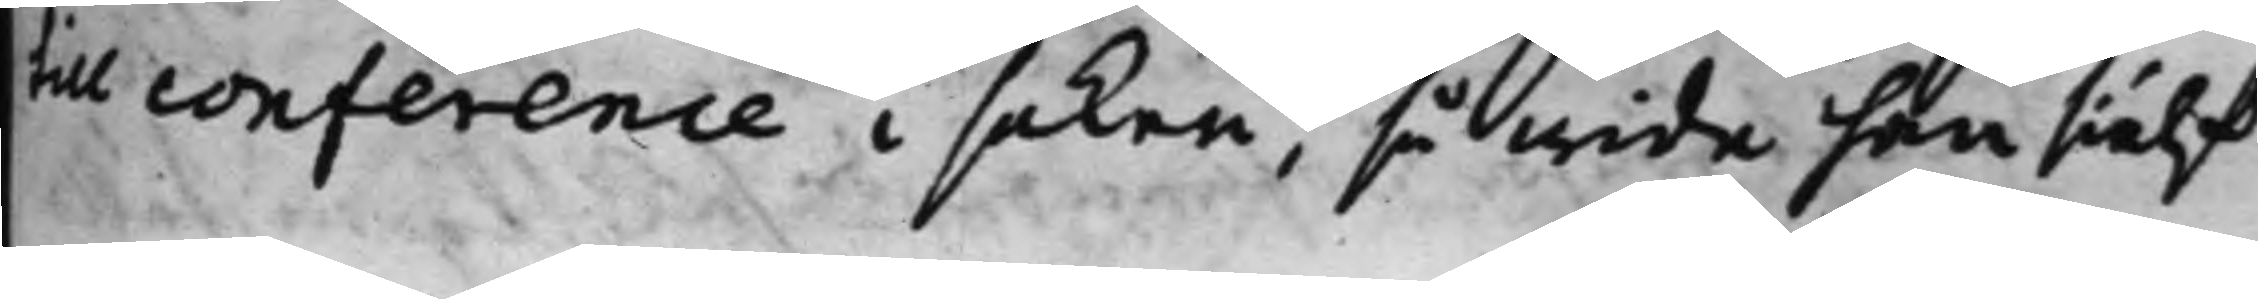till conference i saken, så wida han sielf¬
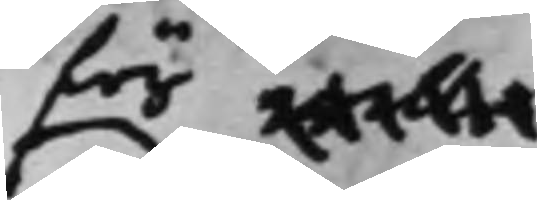för wille
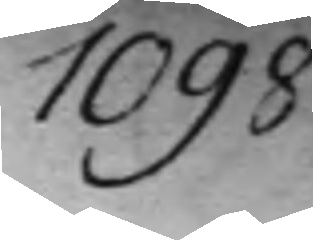1098.
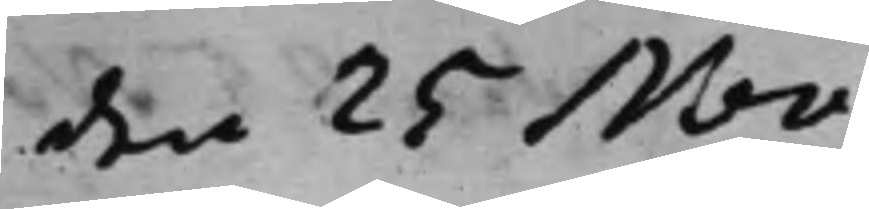den 25 Nov.
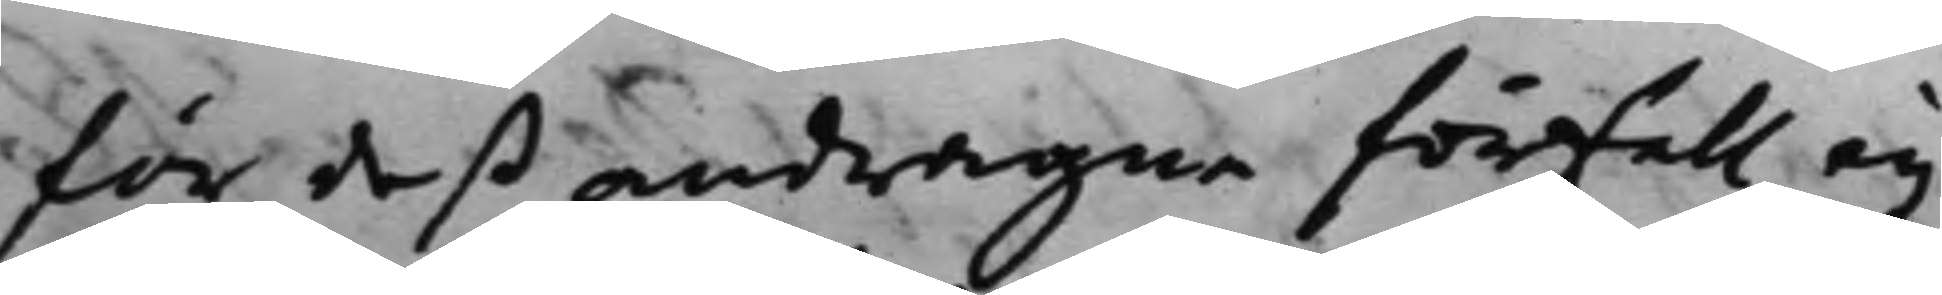för deß andragne förfall, eij
